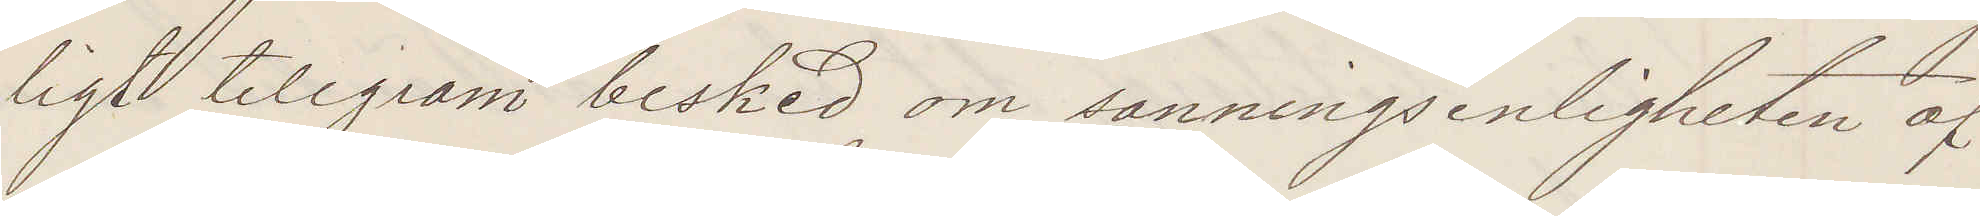ligt telegram besked om sanningsenligheten af
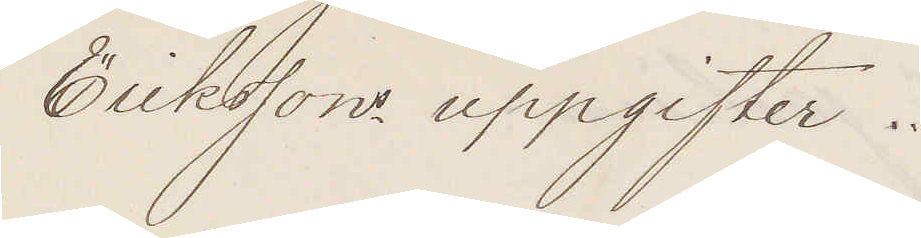Erikssons uppgifter.
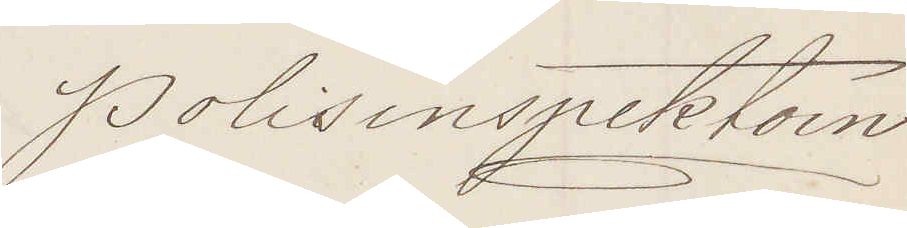Polisinspektorn
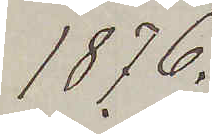1876.
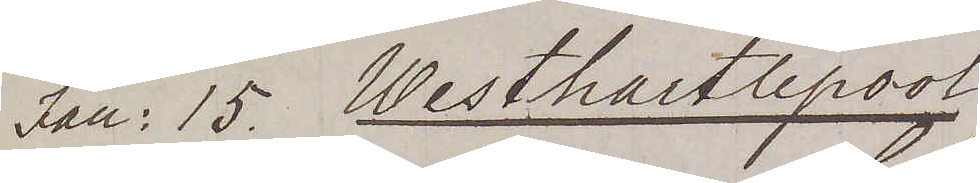Jan: 15. Westhartlepool
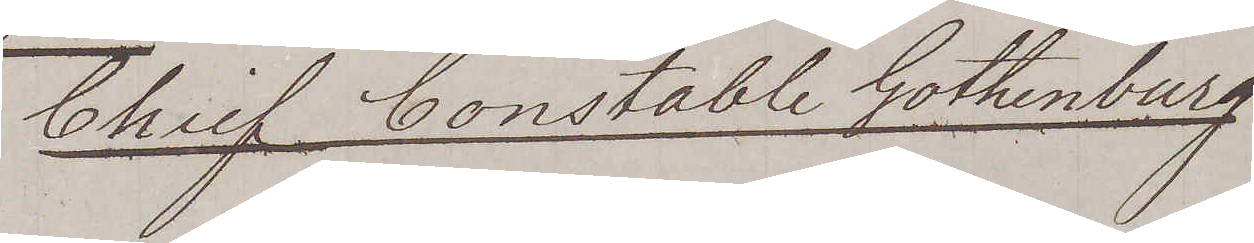Chief Constable Gothenburg.
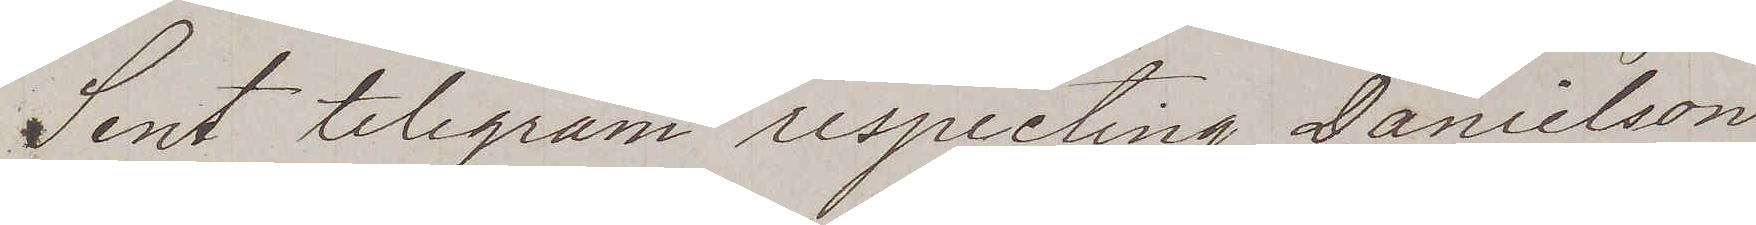Sent telegrem respecting Danielson
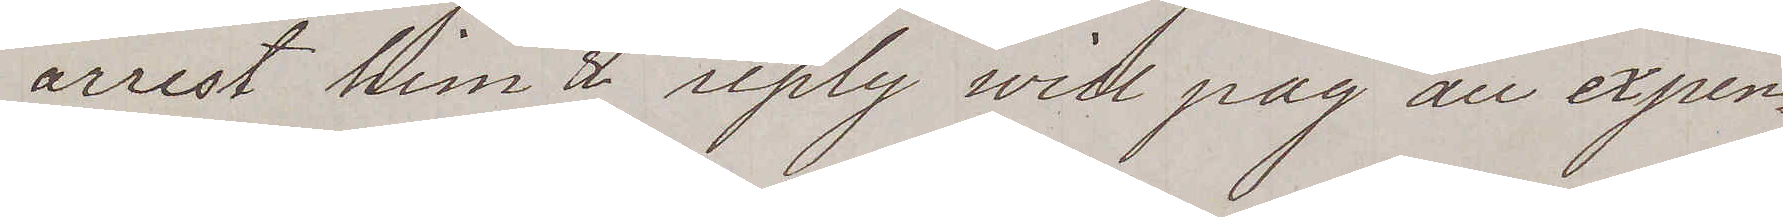arrest him & reply will pay all expen¬
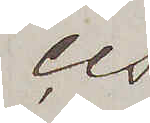ces.
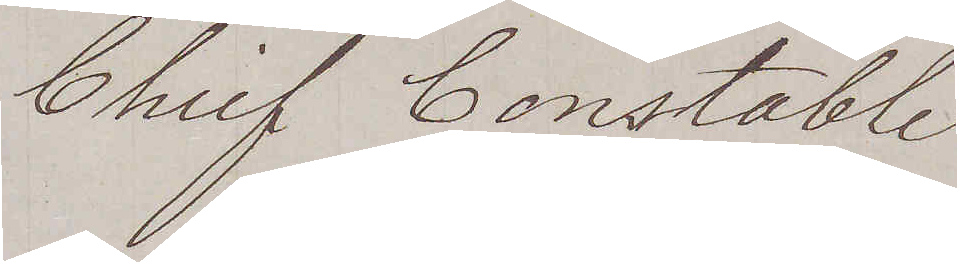Chief Constable
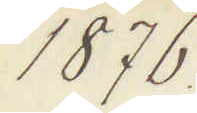1876
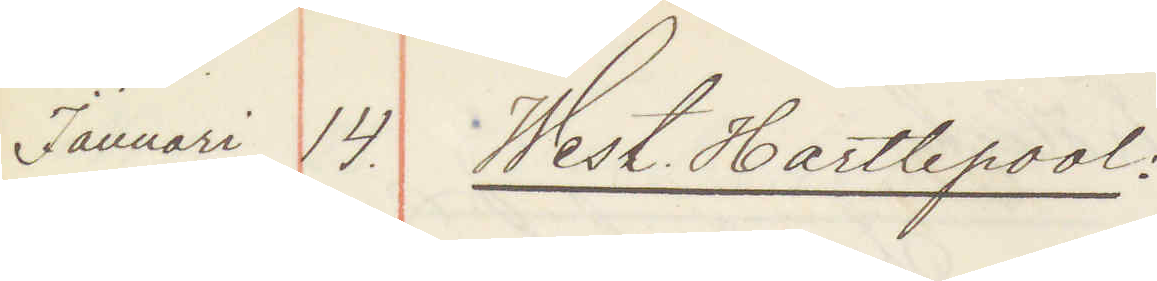Januari 14. West Hartlepool
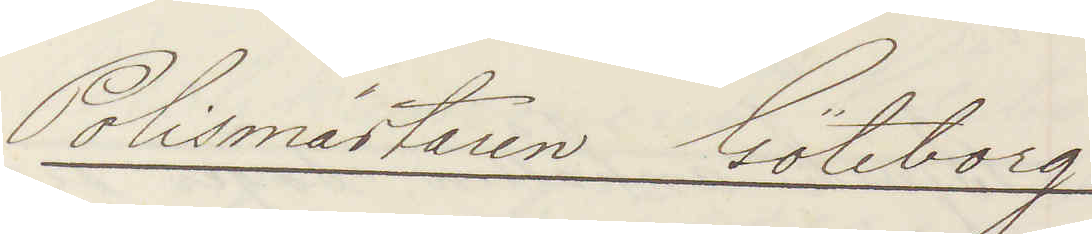Polismästaren Göteborg
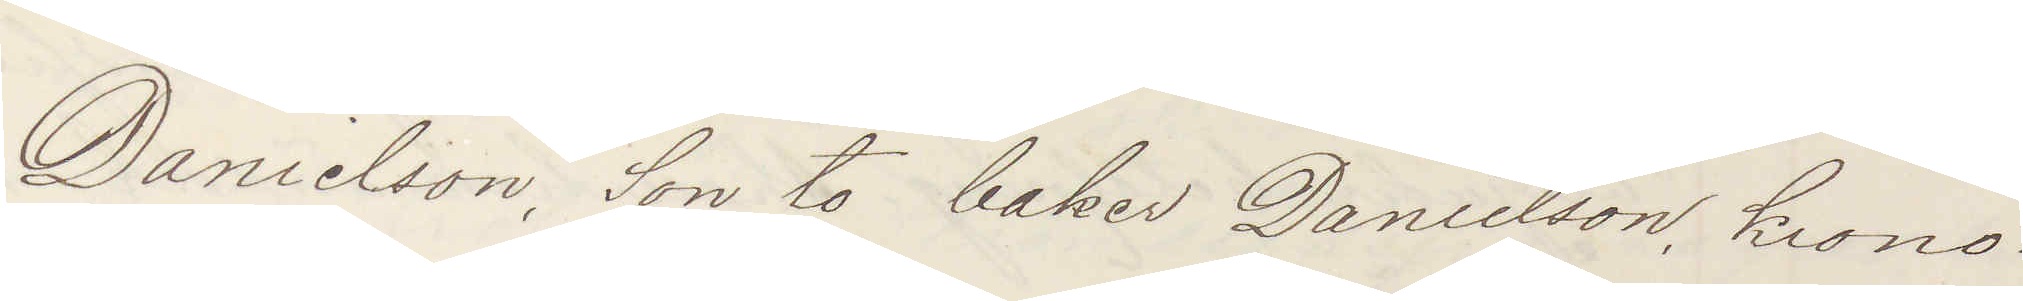Danielson, Son to baker Danielson krono¬
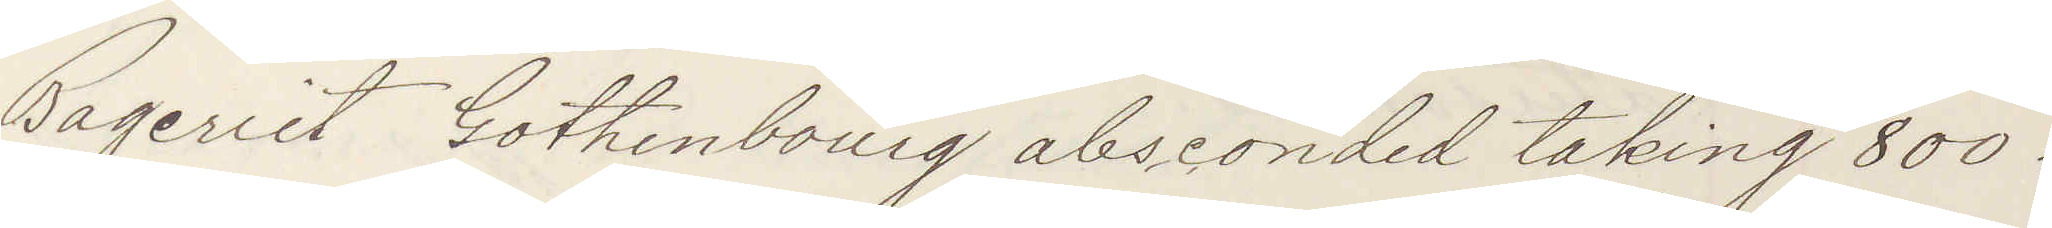Bageriet Gothenburg absconded taking 800
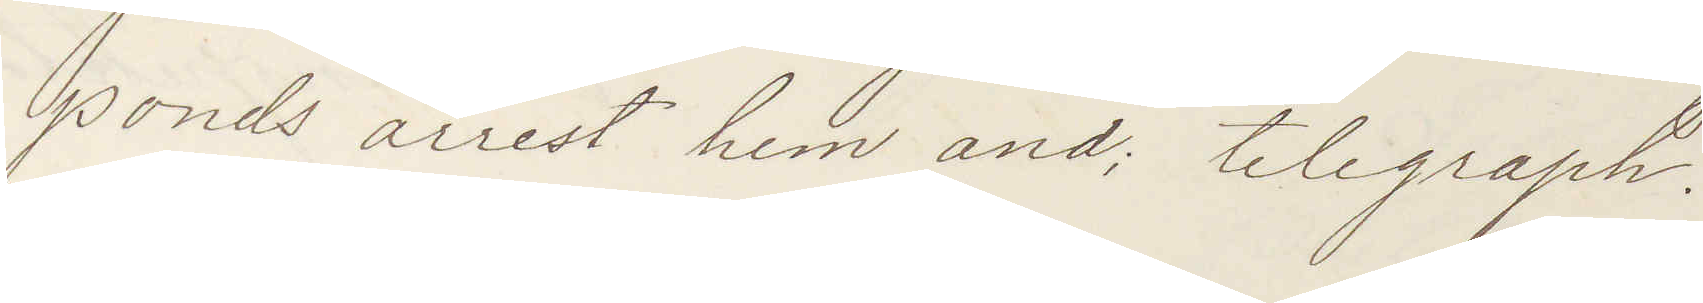ponds arrest him and telegraph.
